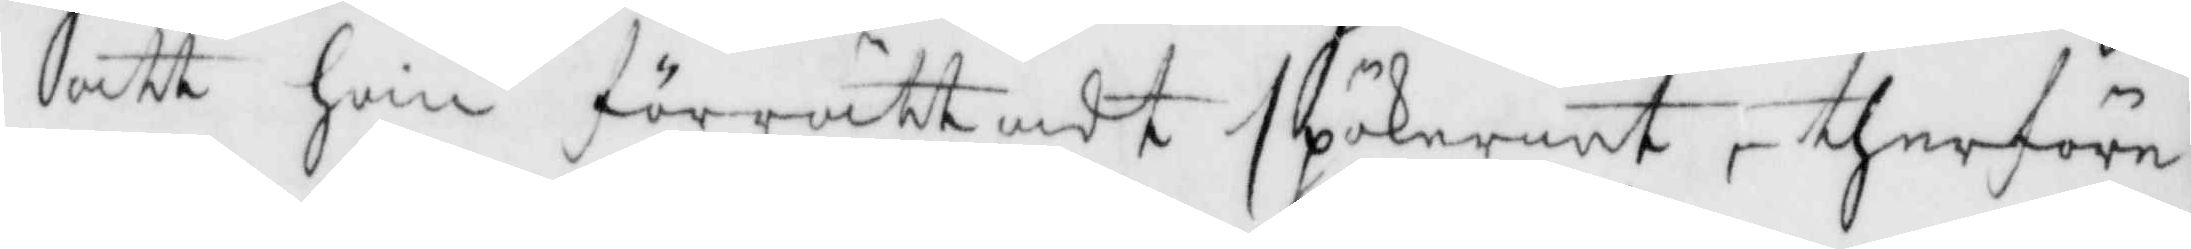att han förrättadt spökeriet, therföre
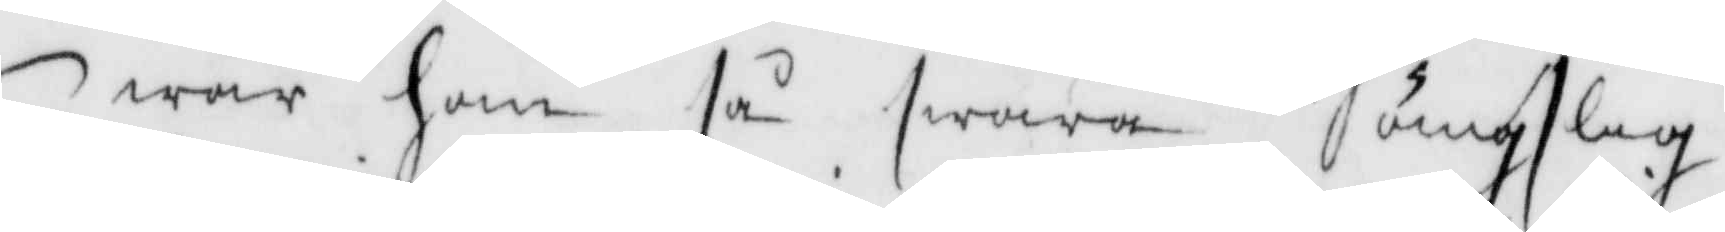war han så swåra ängslig.
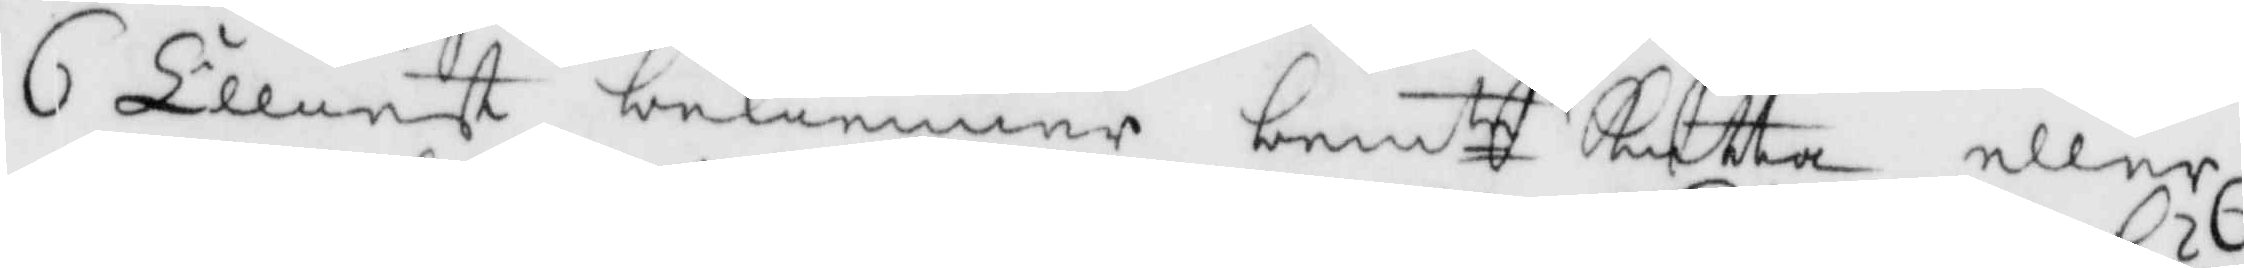6. Elliest bekenner bemte Kutta eller
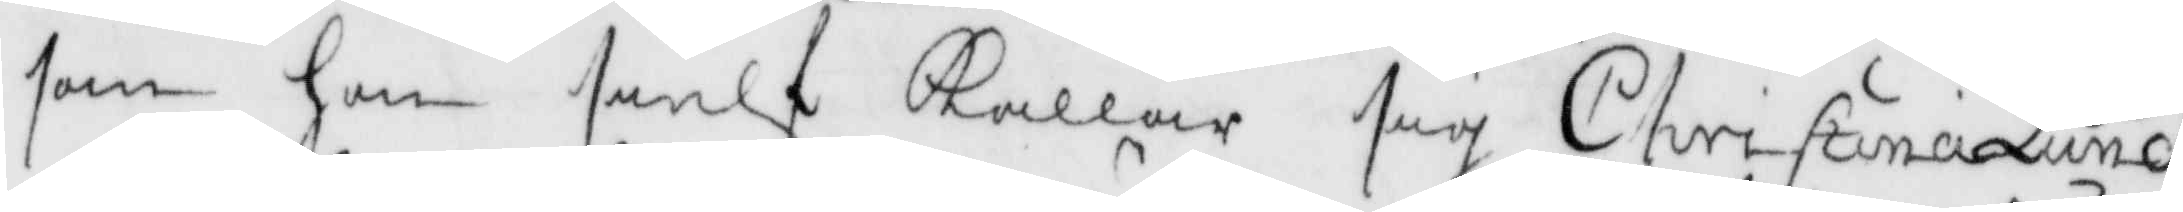som hon sielf Kallar sig Christina Lund,
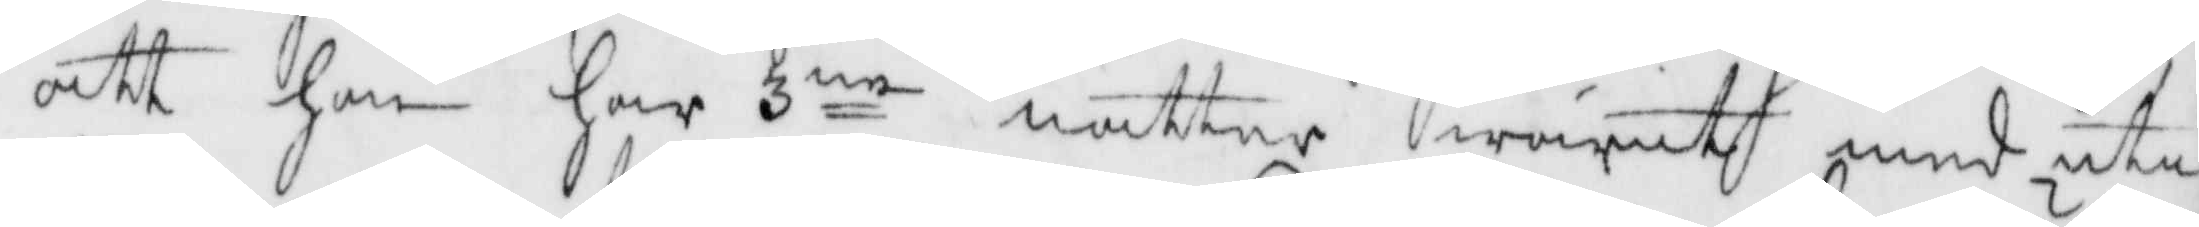att hon har 3ne nätter warit med uti
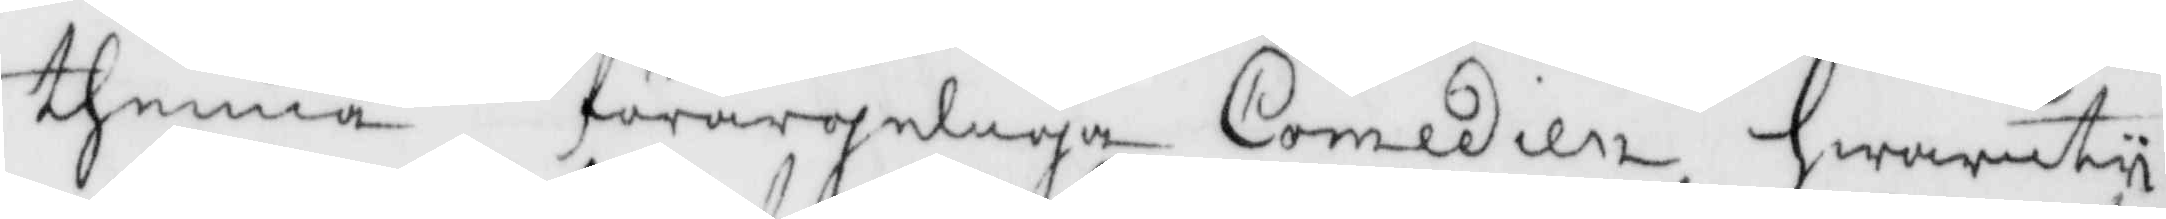thenna förargeliga Comedien hwaruty
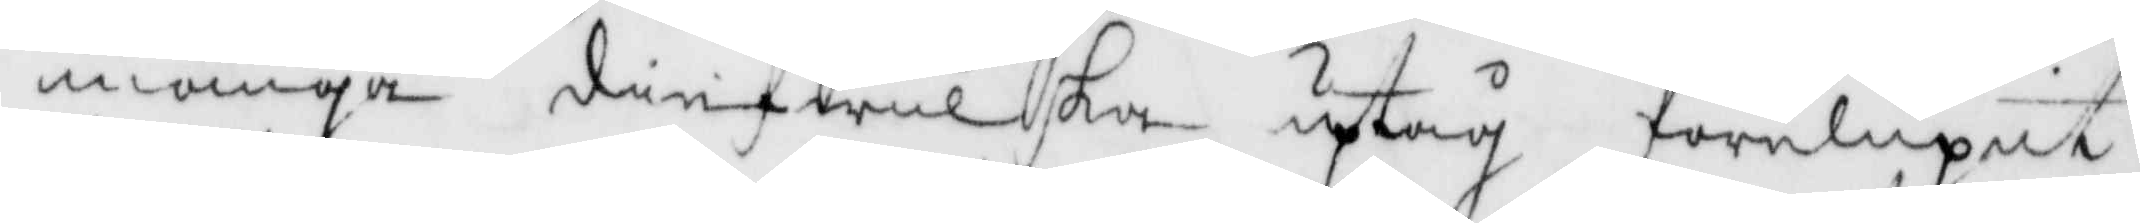många diefwulska uptåg förelupit,
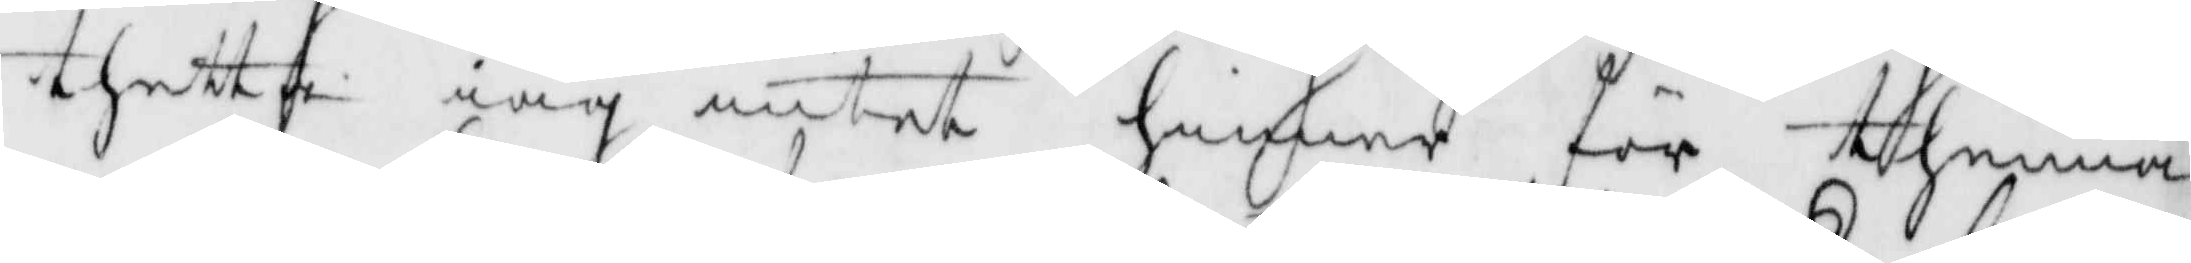thett iag intet hinner för thenna
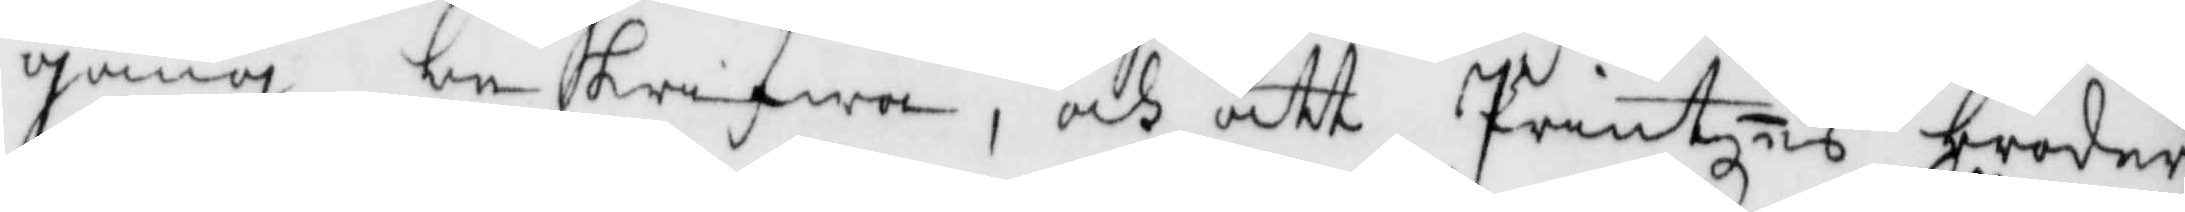gång beskrifwa, och att Printzes broder
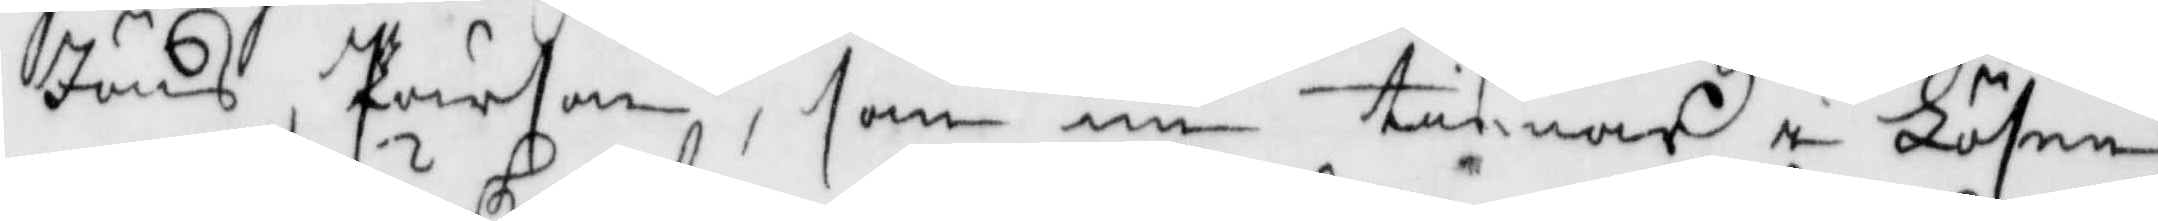Jöns Pärson, som nu tienar i Lösen
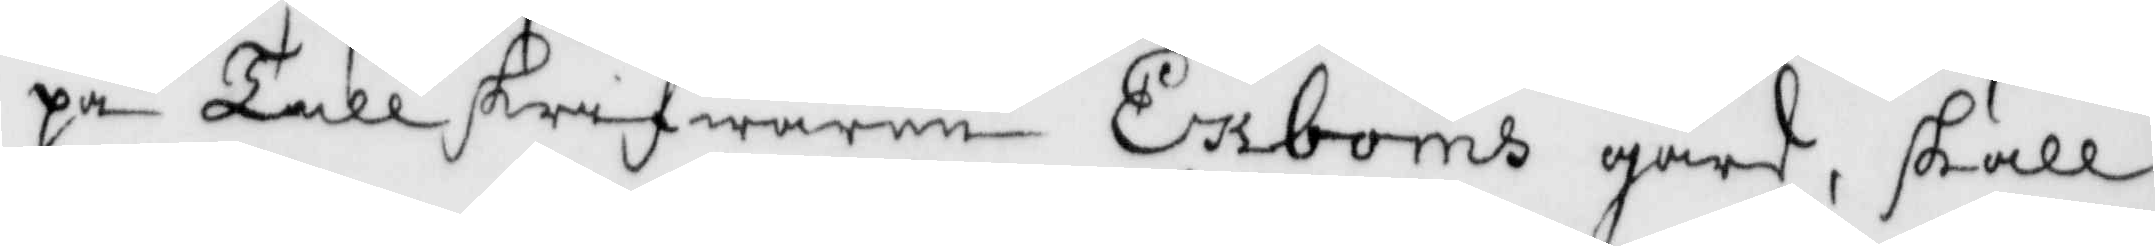på Tullskrifwaren Ersboms gårdm skall
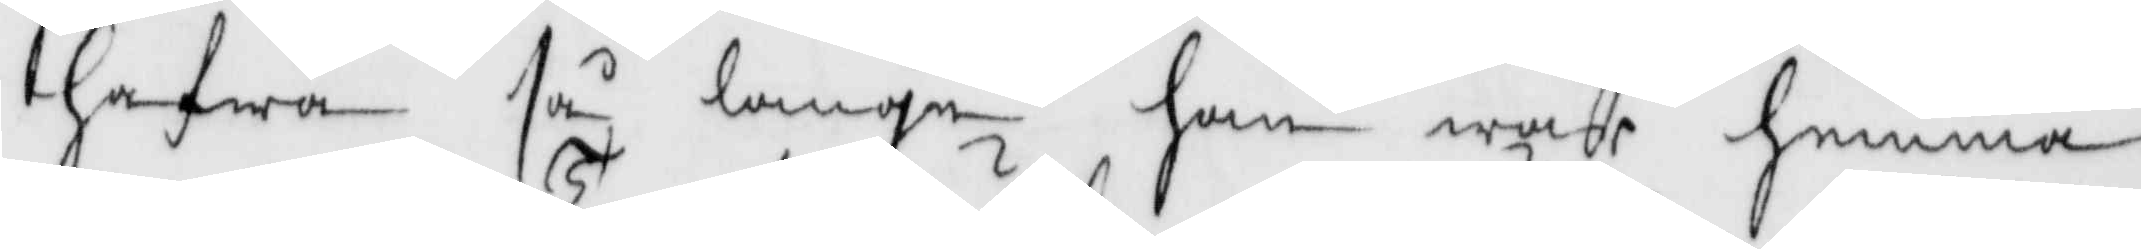hafwa så länge han war hemma
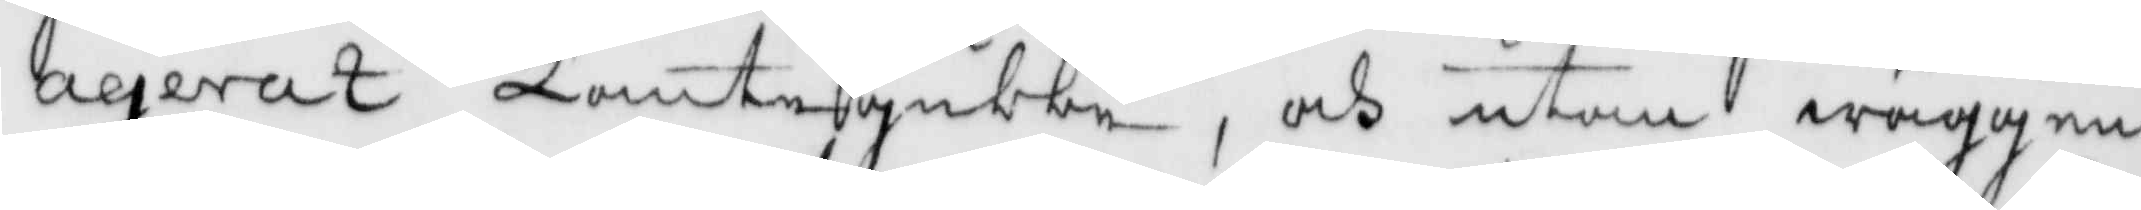agerat Tomtegubbe, och utan wäggen
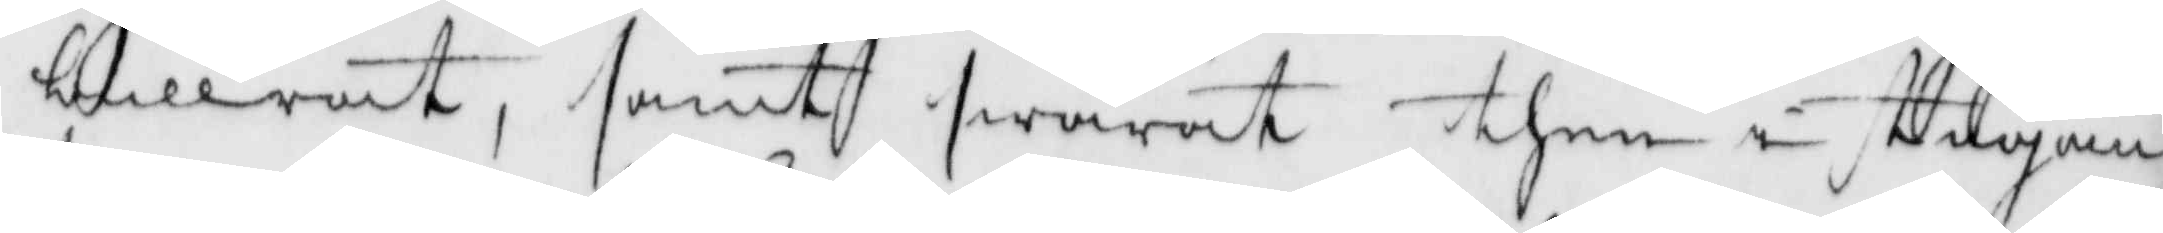bullrat, samt swarat them i stugan
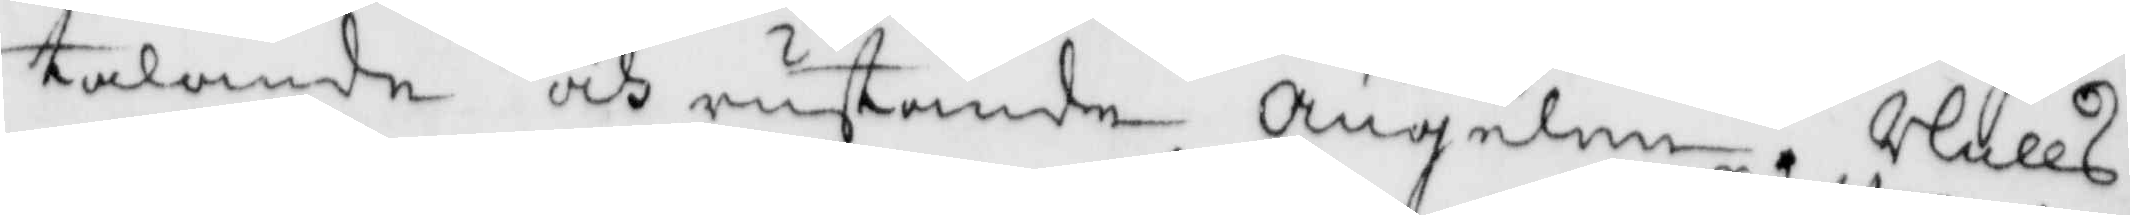talande och rustande Ängelen, Nills
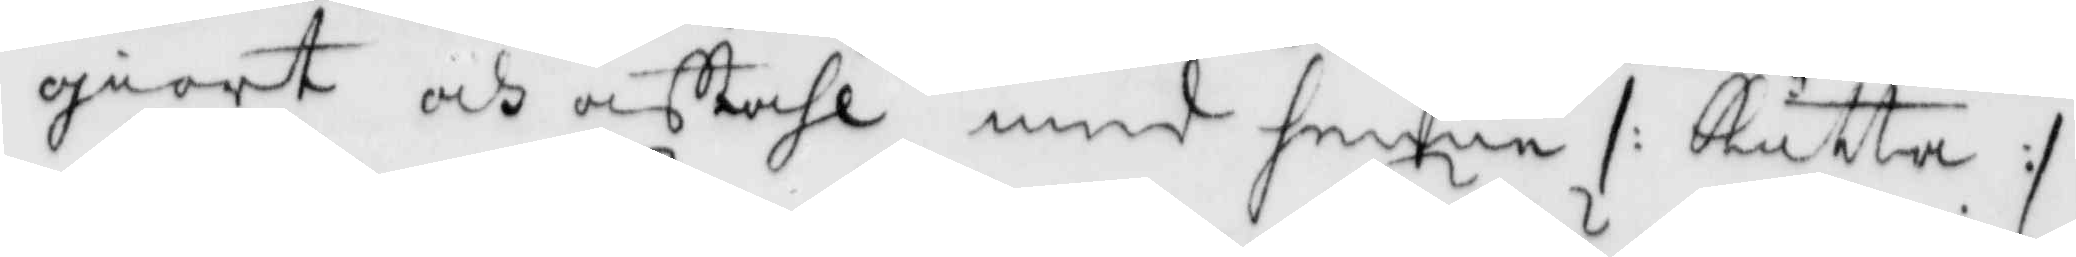giort och aftahl med henne /: Kutta :/
